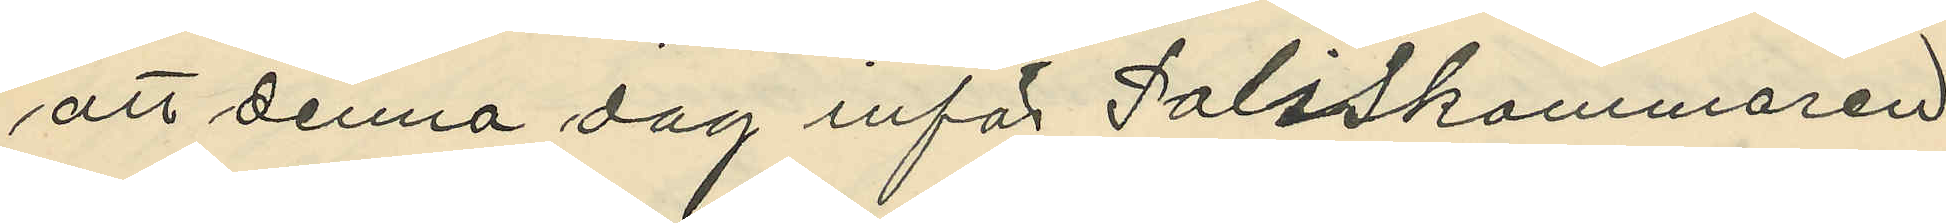att denna dag inför Poliskammaren
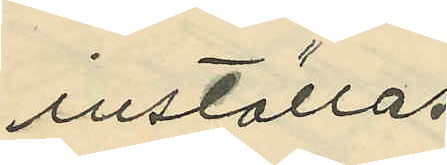inställas.
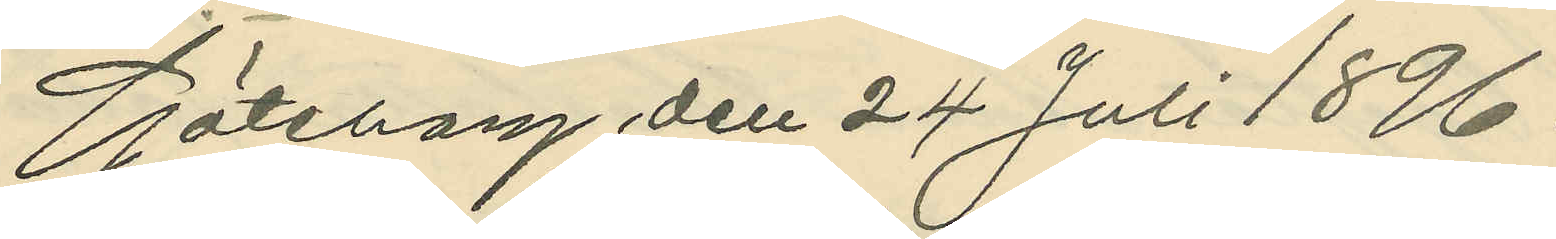Göteborg den 24 Juli 1896.
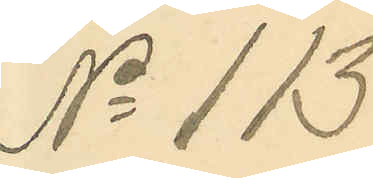No 113.
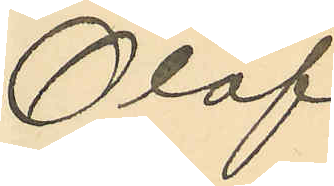Olof
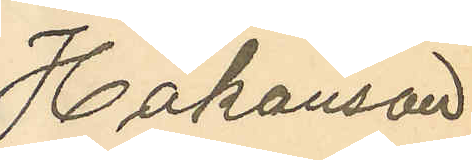Håkanson
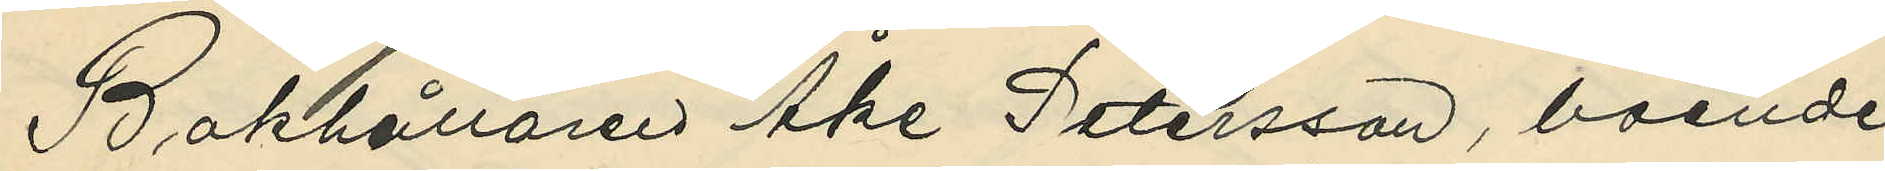Bokhållaren Åke Petersson, boende
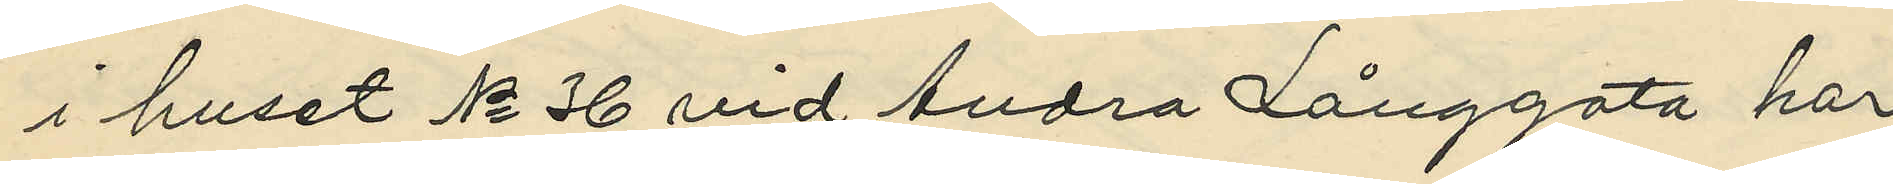i huset No 36 vid Andra Långgata har
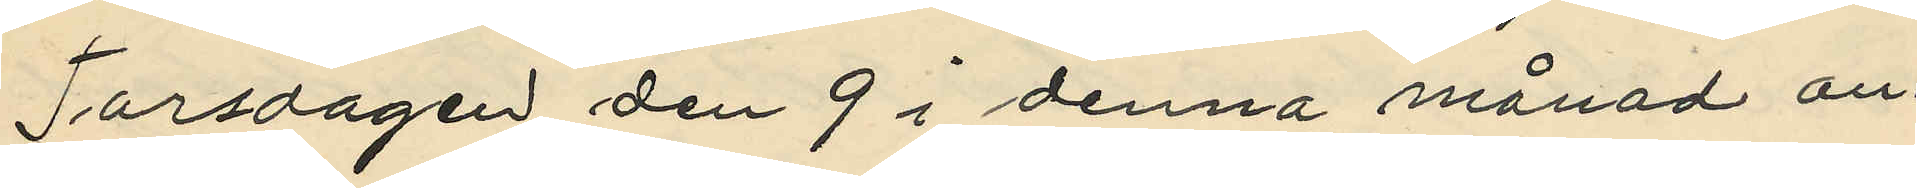Torsdagen den 9 i denna månad an¬
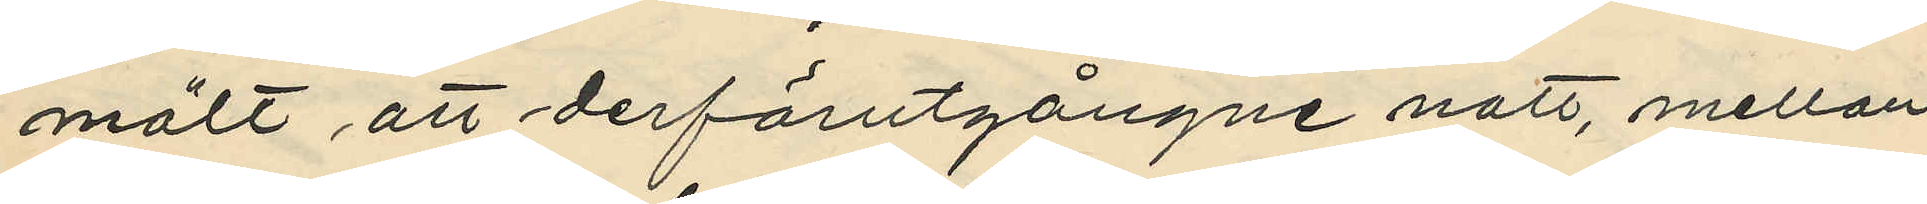mält att derförutgångne natt, mellan
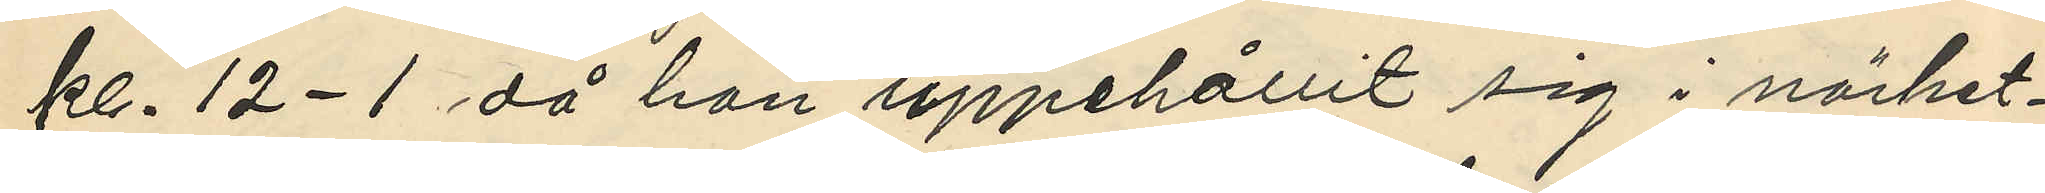kl. 12-1 då han uppehållit sig i närhet¬
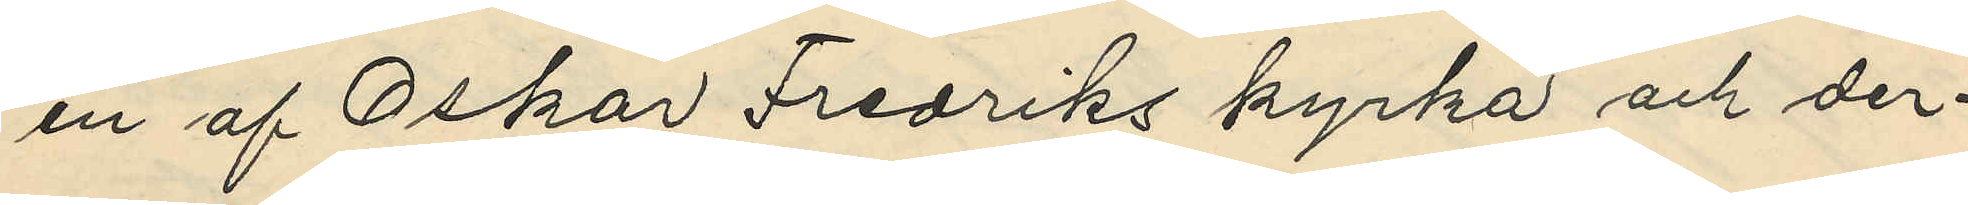en af Oskar Fredriks kyrka och der¬
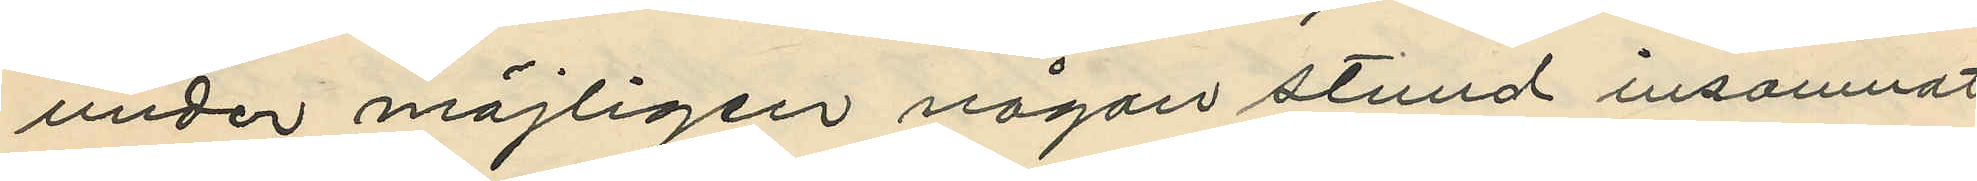under möjligen någon stund insomnat
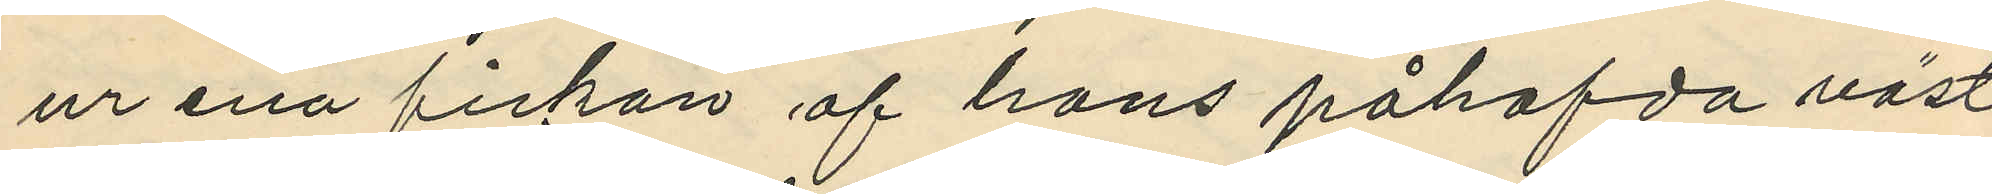ur ena fickan af hans påhafda väst
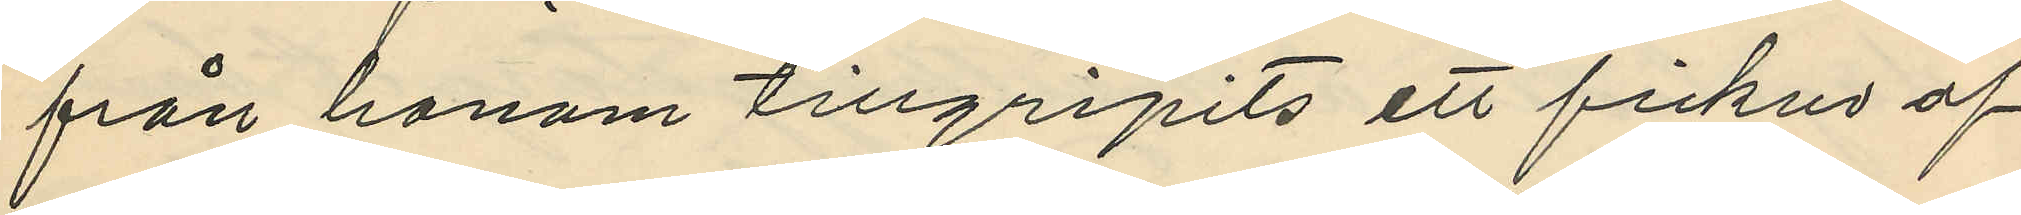från honom tillgripits ett fickur af
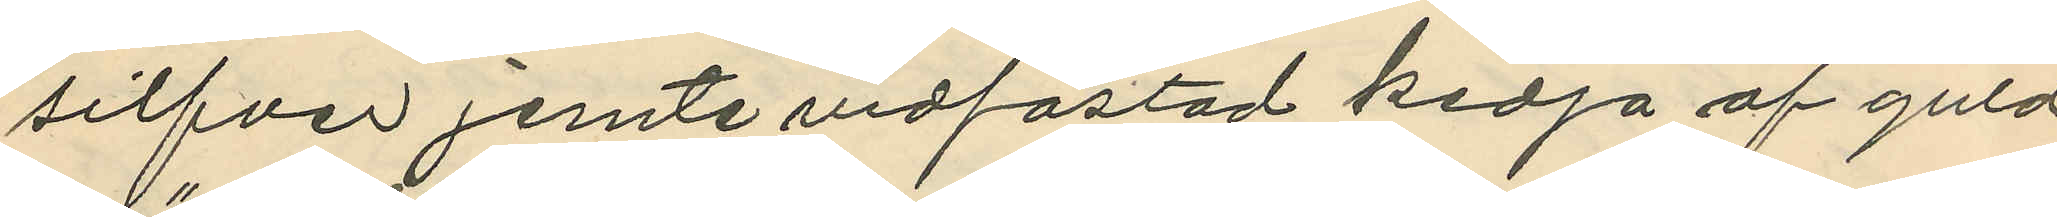silfver jemte vidfästad kedja af guld
